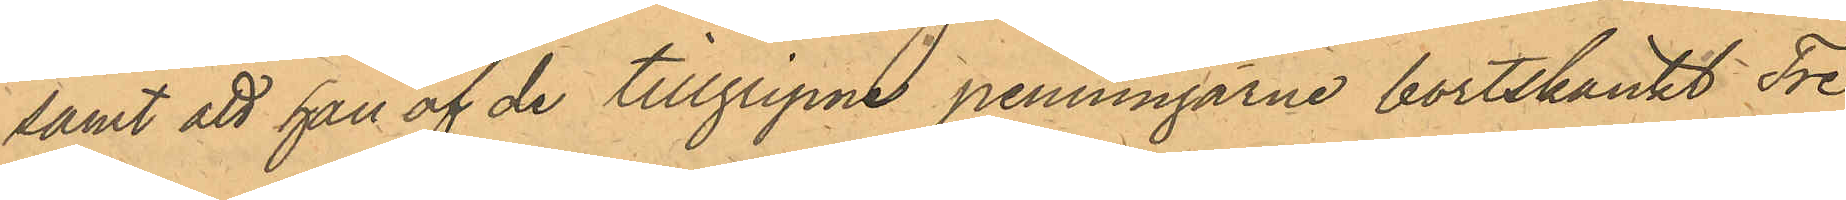samt att han af de tillgripne penningarne bortskänkt Tre
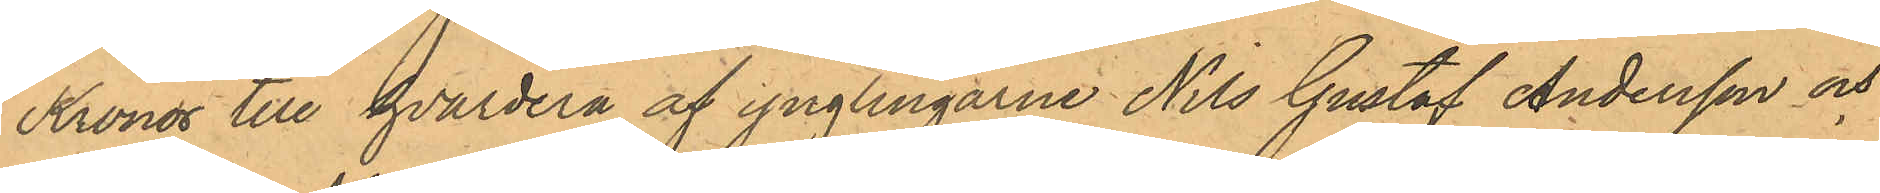Kronor till hvardera af ynglingarne Nils Gustaf Andersson och
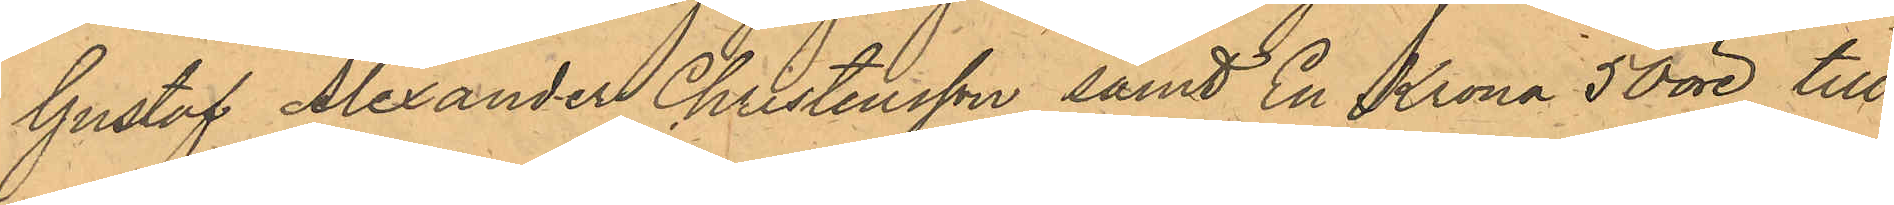Gustaf Alexander Christensson samt En Krona 50 öre till
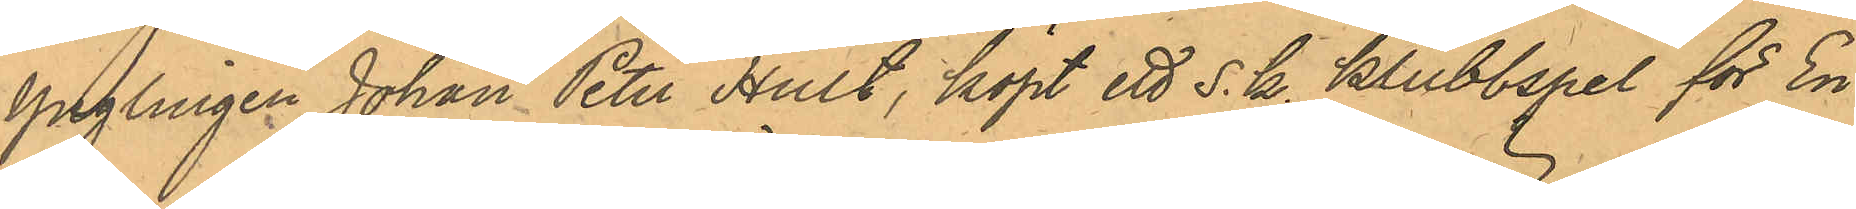Ynglingen Johan Peter Hult, köpt ett s. k. klubbspel för En
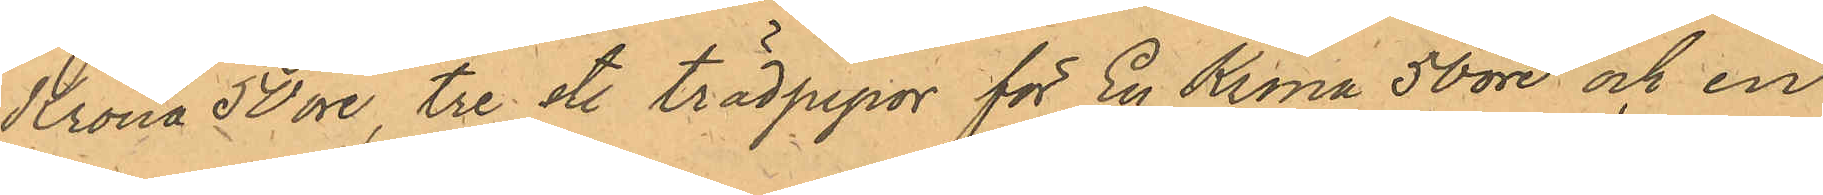Krona 50 öre, tre st. trädpipor för En Krona 50 öre och en
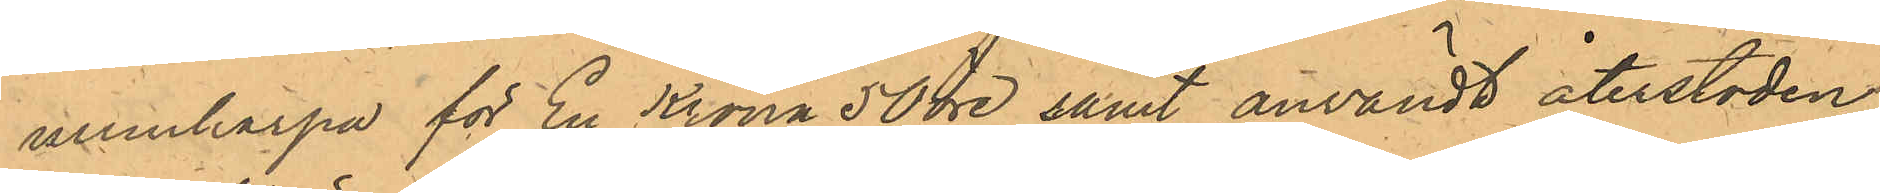munharpa för En Krona 50 öre samt användt återstoden 
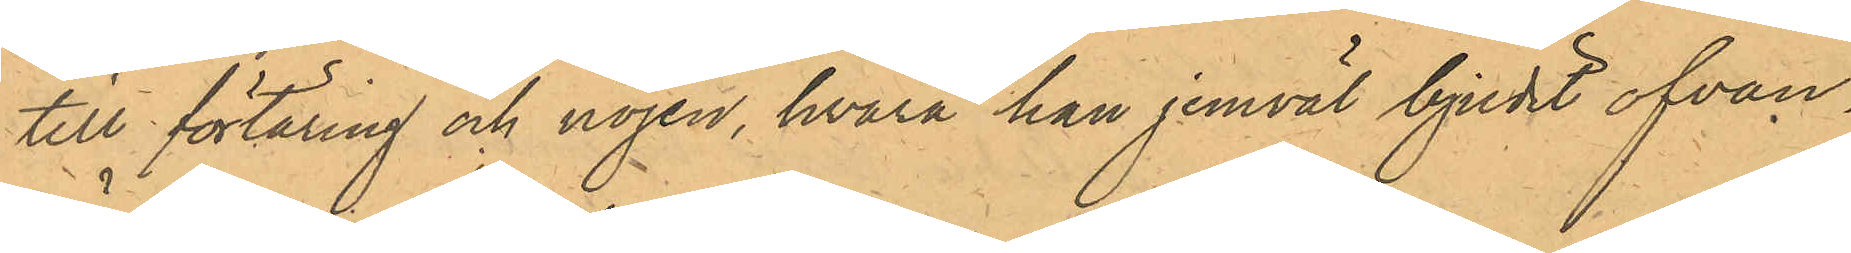till förtäring och nöjen, hvarå han jemväl bjudit ofvan¬
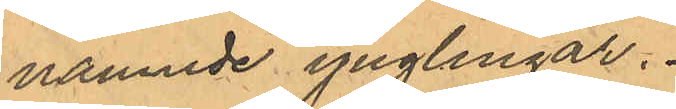nämnde ynglingar.
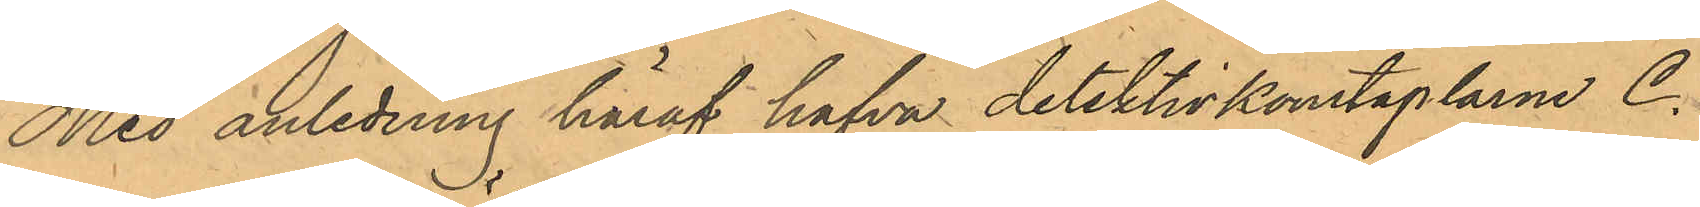Med anledning häraf hafva dektektivkonstplarne C.
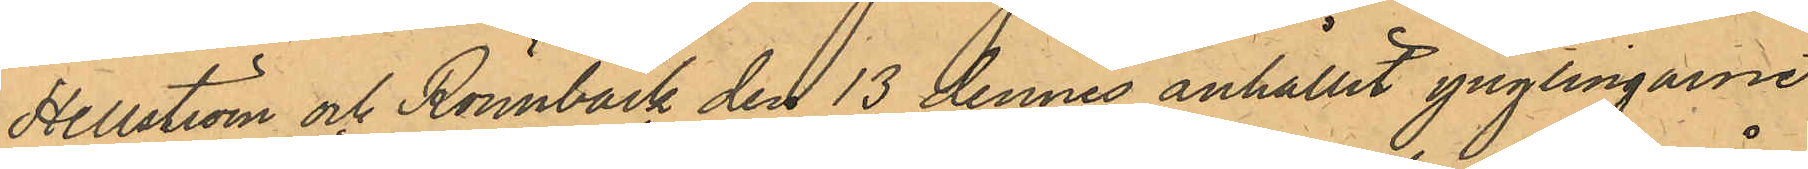Hellström och Rönnbäck den 13 dennes anhållit ynglingarne
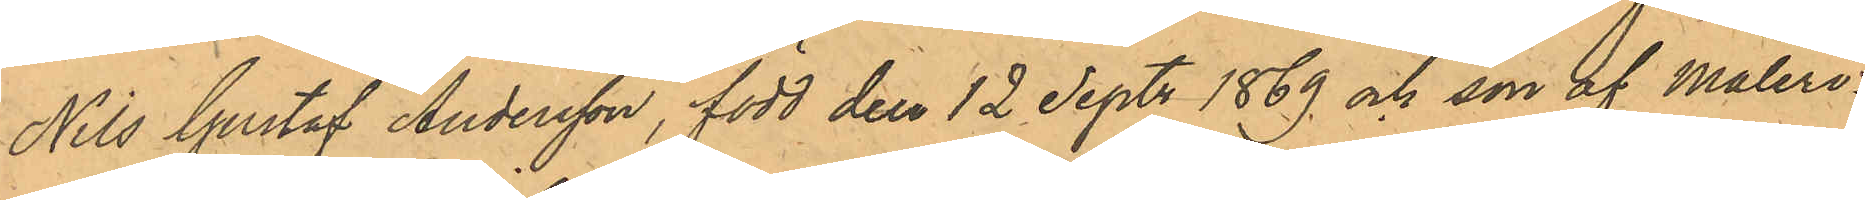Nils Gustaf Andersson, född den 12 Sept. 1869 och son af Måleri¬
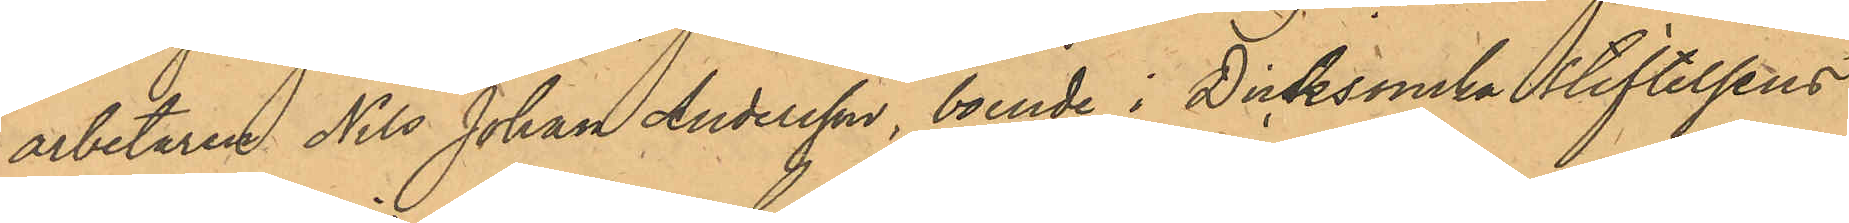arbetaren Nils Johan Andersson, boende i Dicksonska stiftelsens
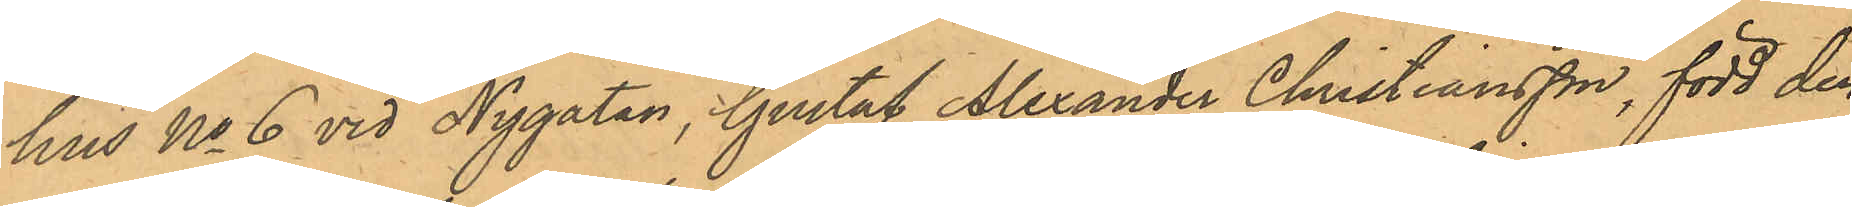hus No 6 vid Nygatan, Gustaf Alexander Christiansson, född den
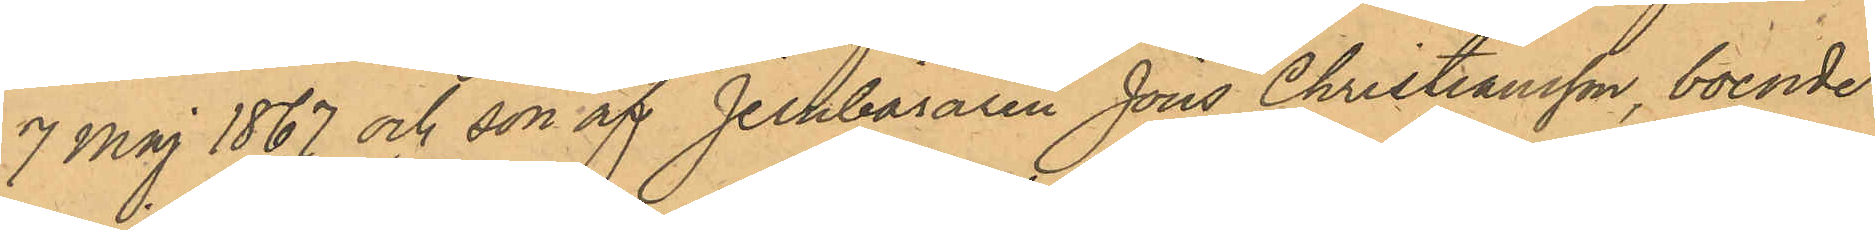7 Maj 1867 och son af Jernbäraren Jöns Christiansson, boende
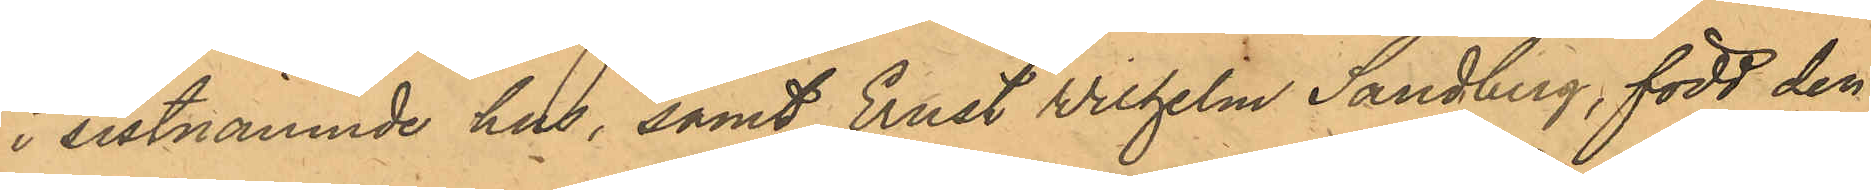i sistnämnde hus, samt Ernst Wilhelm Sandberg, född den
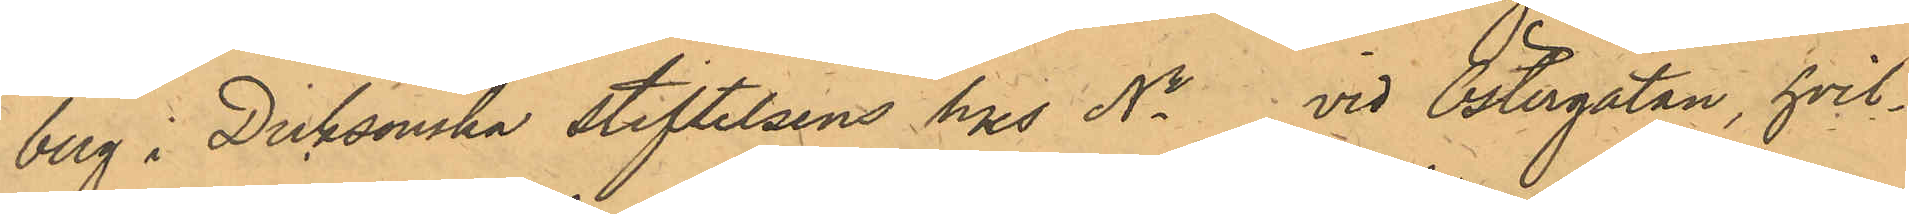berg i Dicksonska stiftelsens hus No vid Östergatan, hvil¬
